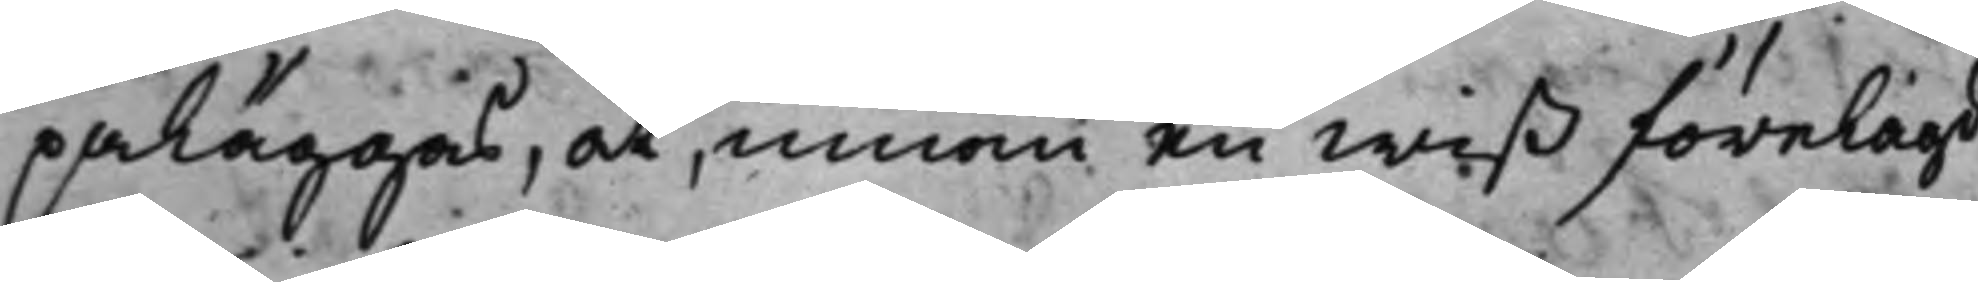påläggas, at, innom en wiß förelagd
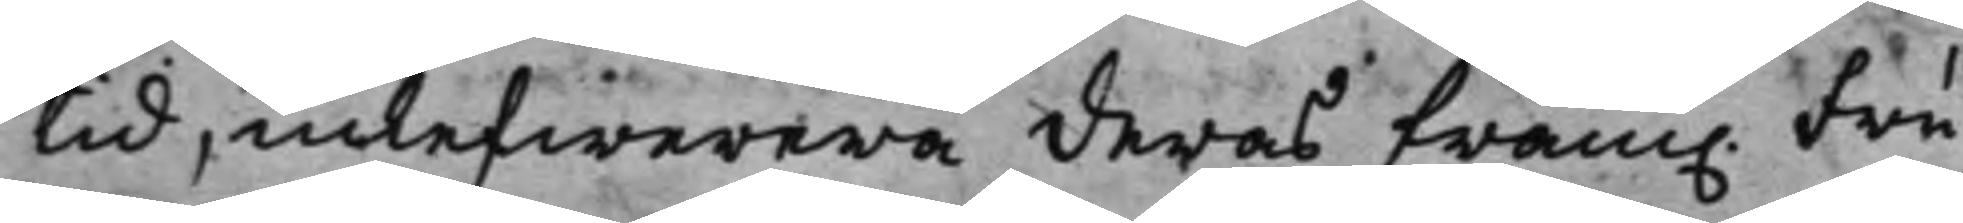tid, inlefwerera deras fram. Fru
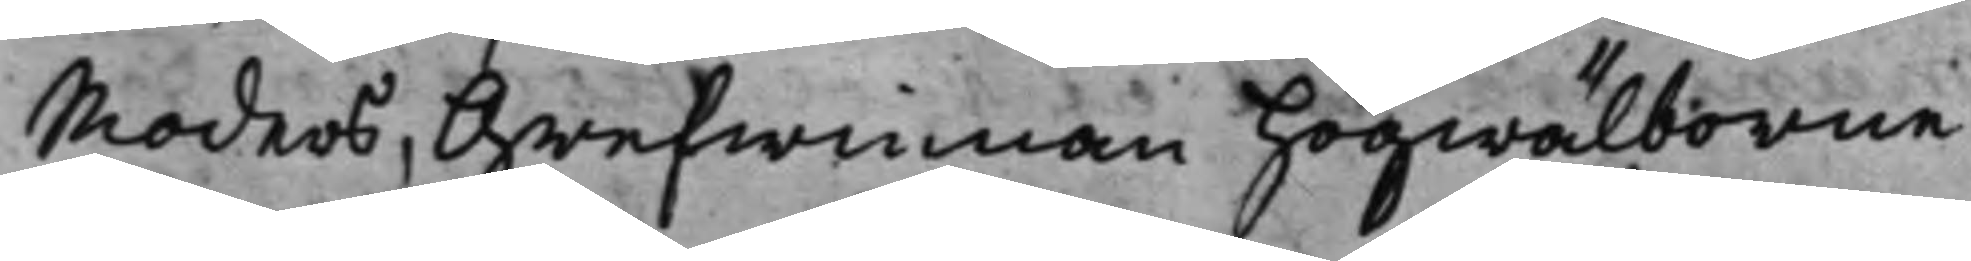Moders, Grefwinnan högwälborne
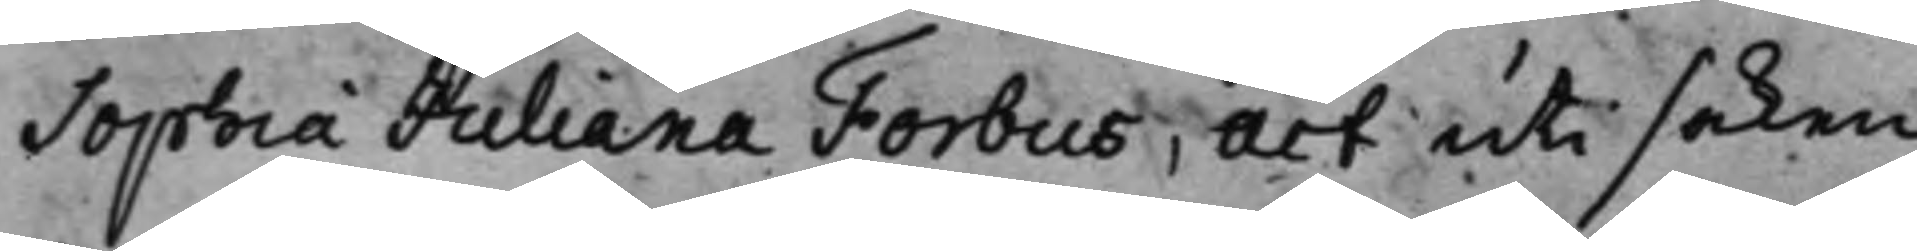Sophia Juliana Forbus, act uti saken,
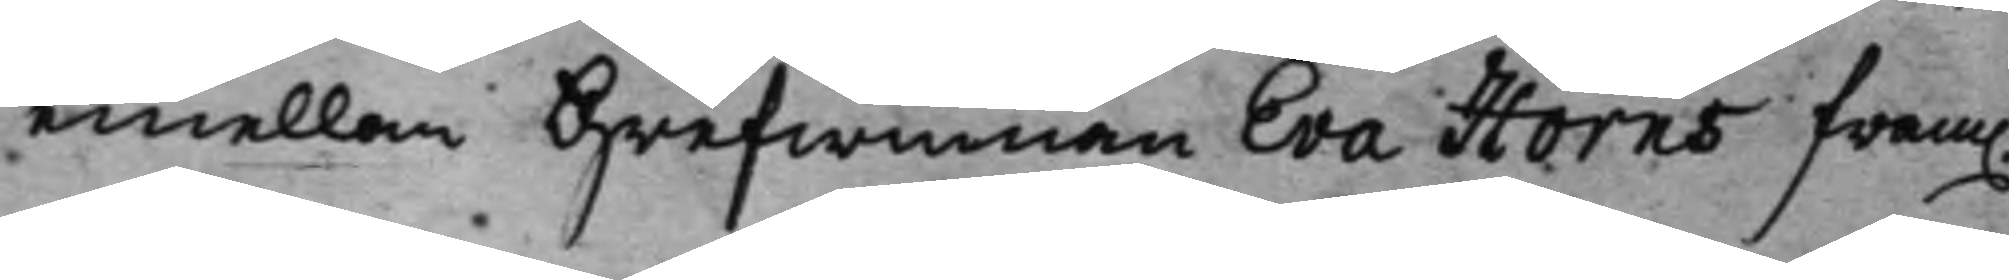emellan Grefwinnan Eva Horns fram.
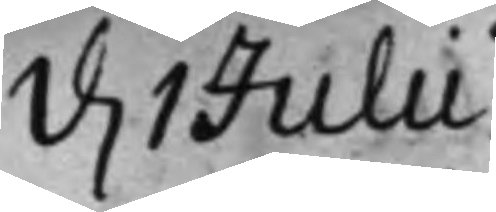d. 1 Julii
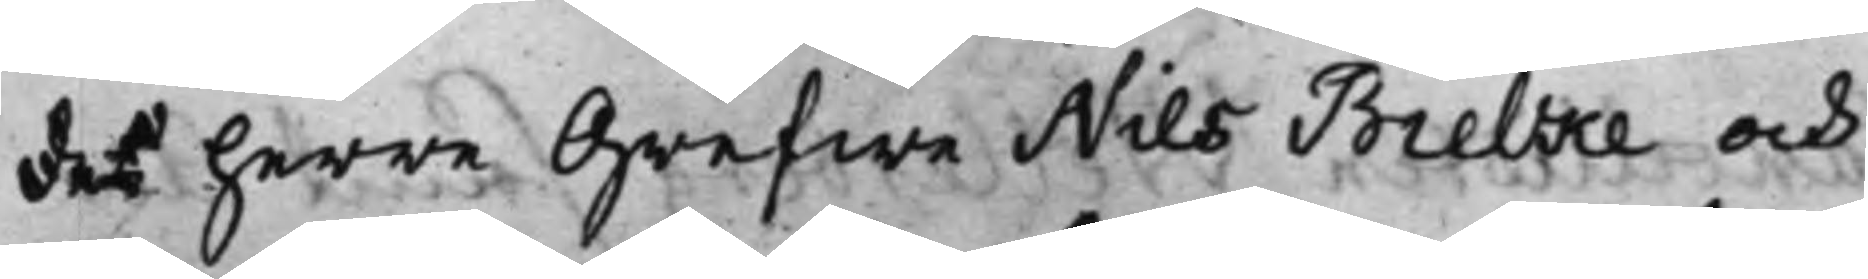des herre Grefwe Nils Bielke och
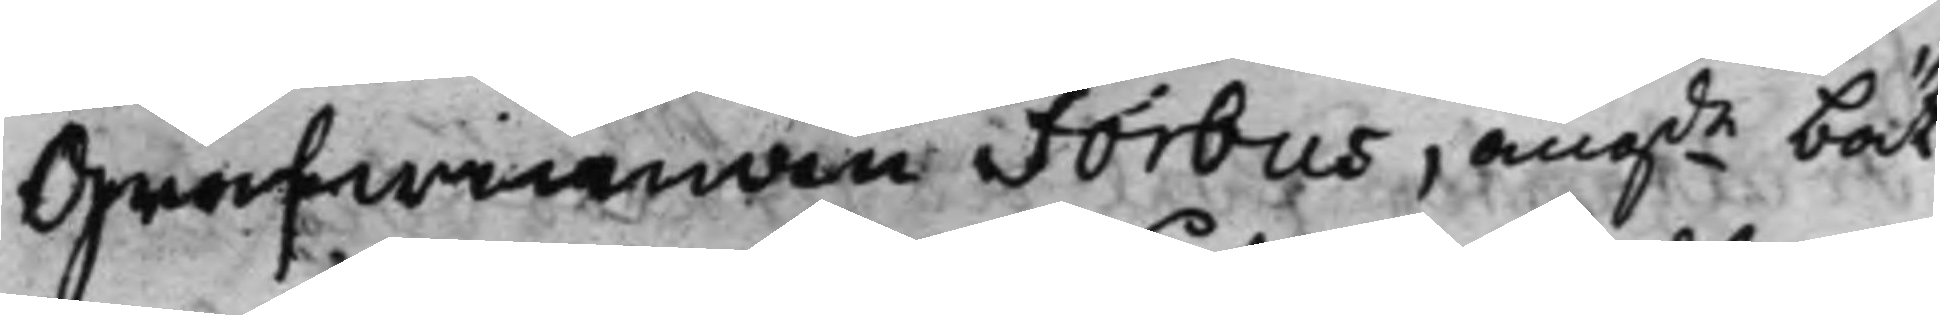Grefwinnan Forbus, ang:de bät¬
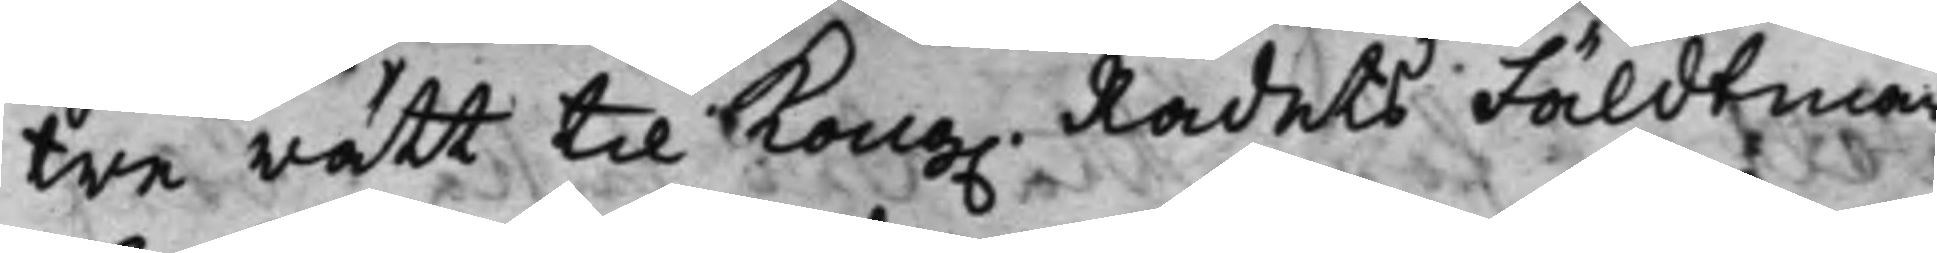tre rätt til Kong. Rådets Fäldtmar¬
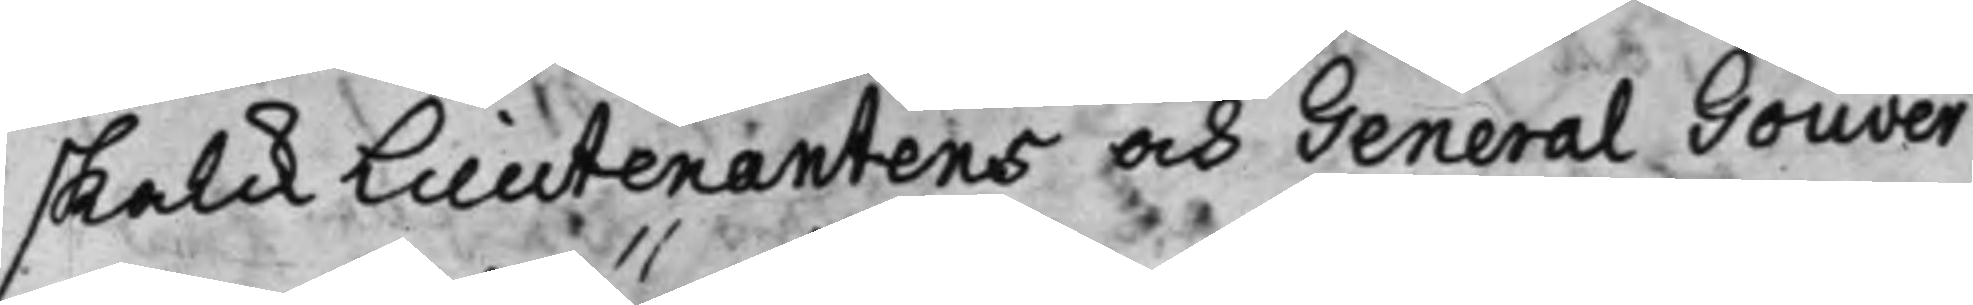skalck Lieutenantens och General Gouver¬
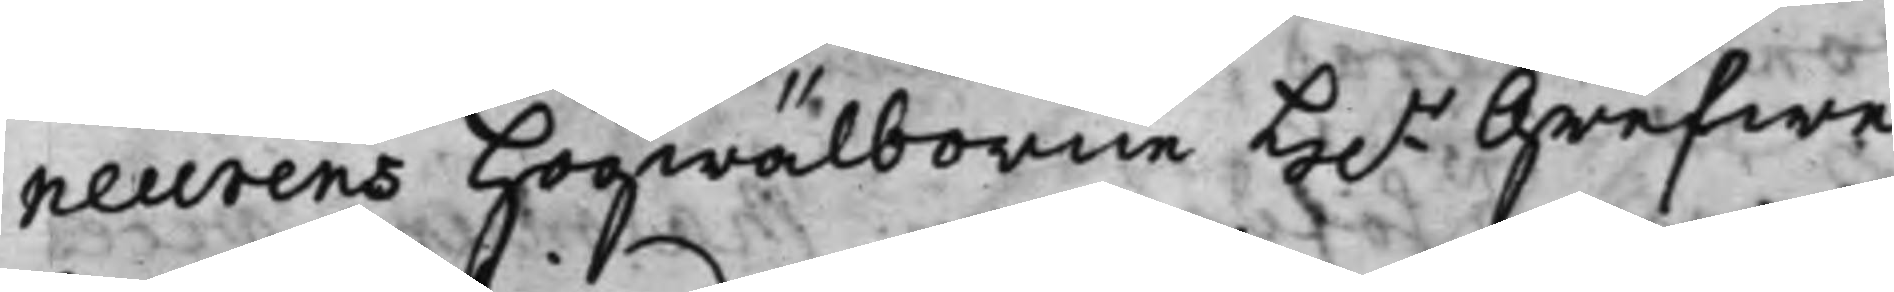neurens Högwälborne H.r Grefwe
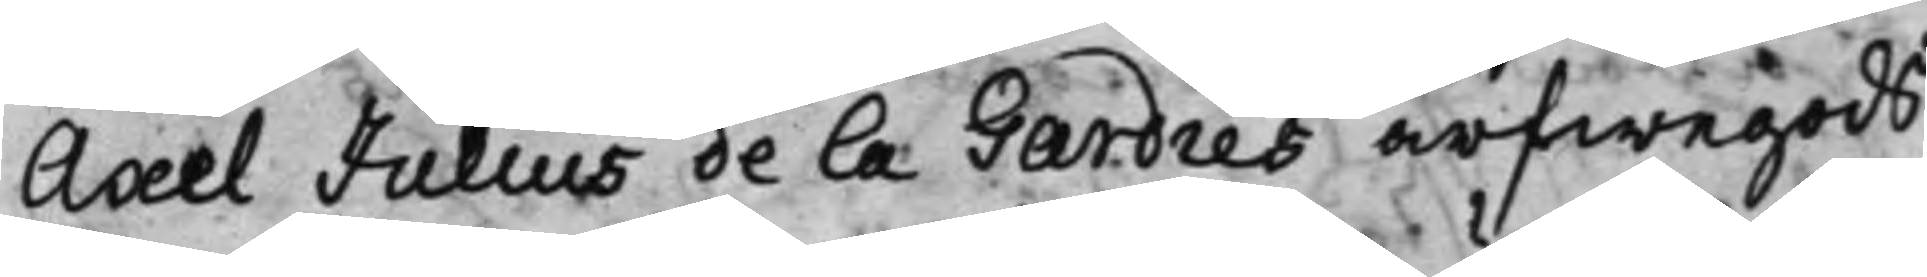Axel Julius de la Gardies arfwegods,
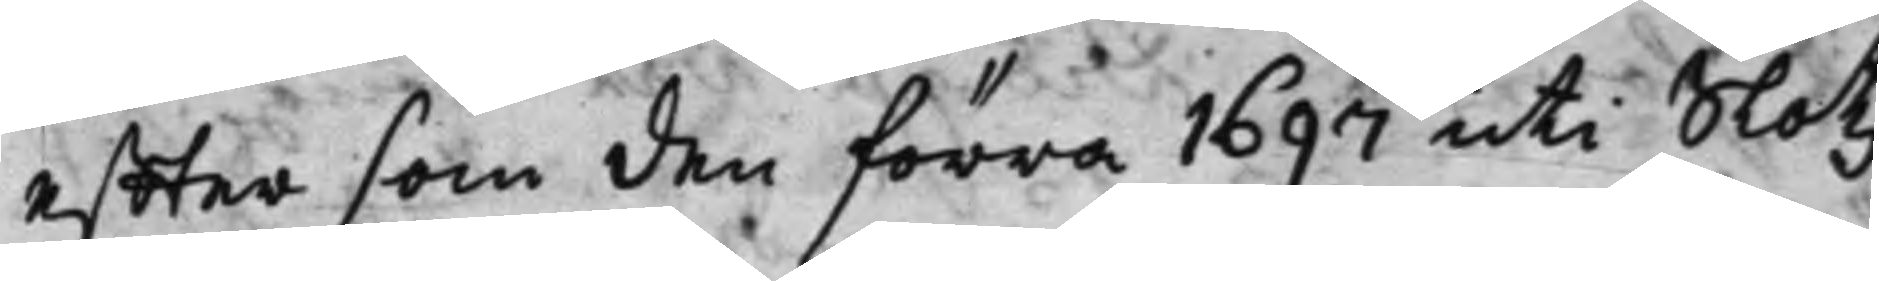effter som den förra 1697 uti Slotz¬
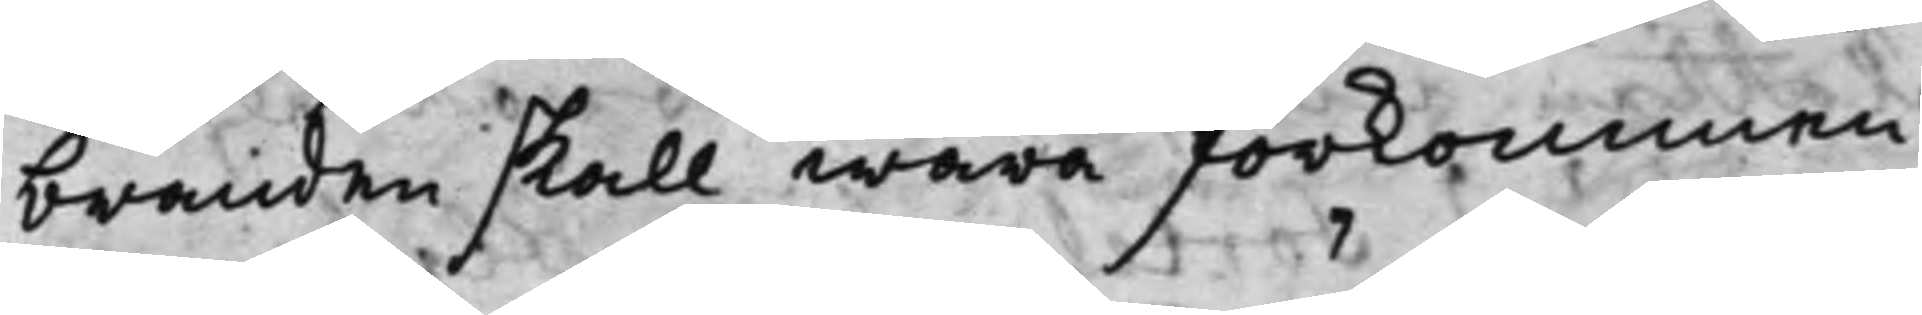branden skall wara förkommen.
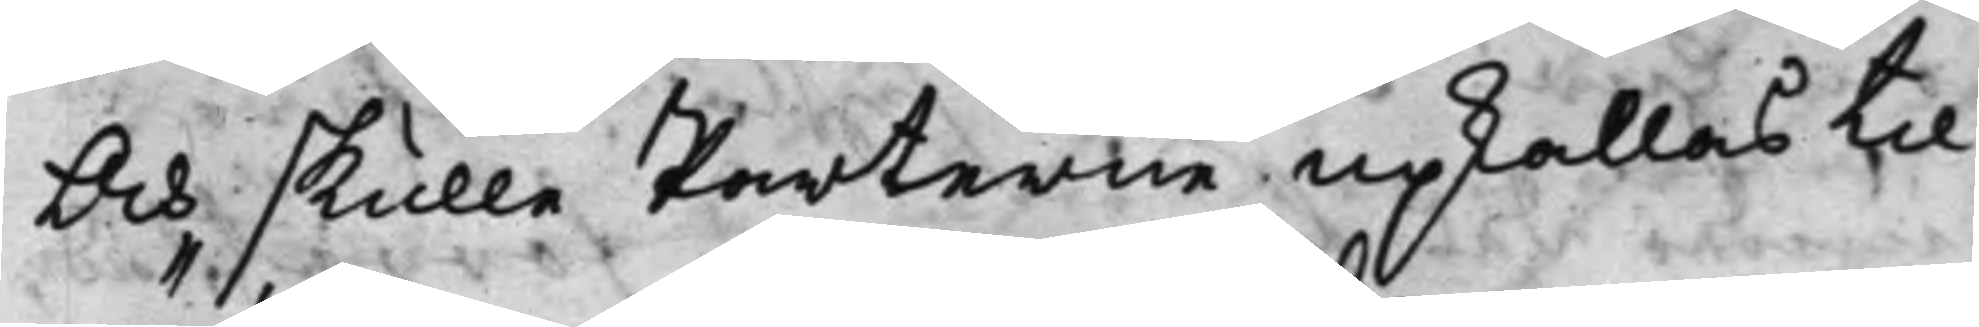Och skulle Parterne upkallas til
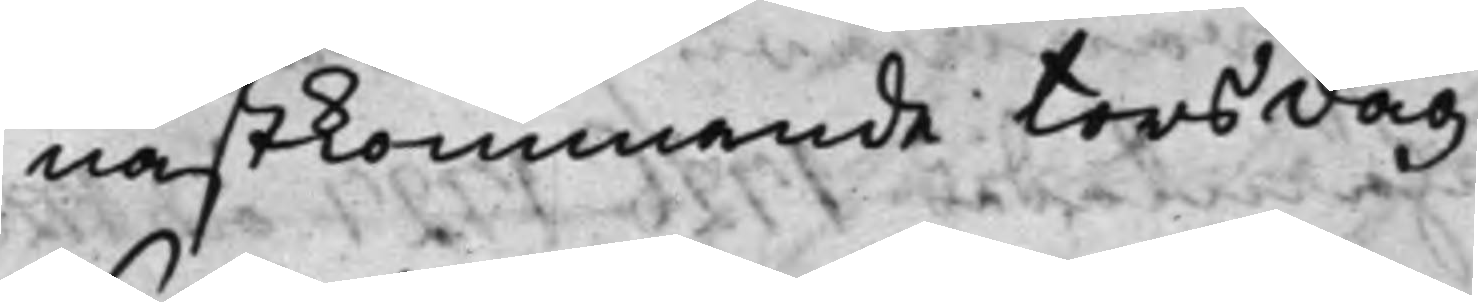nästkommande torsdag.
